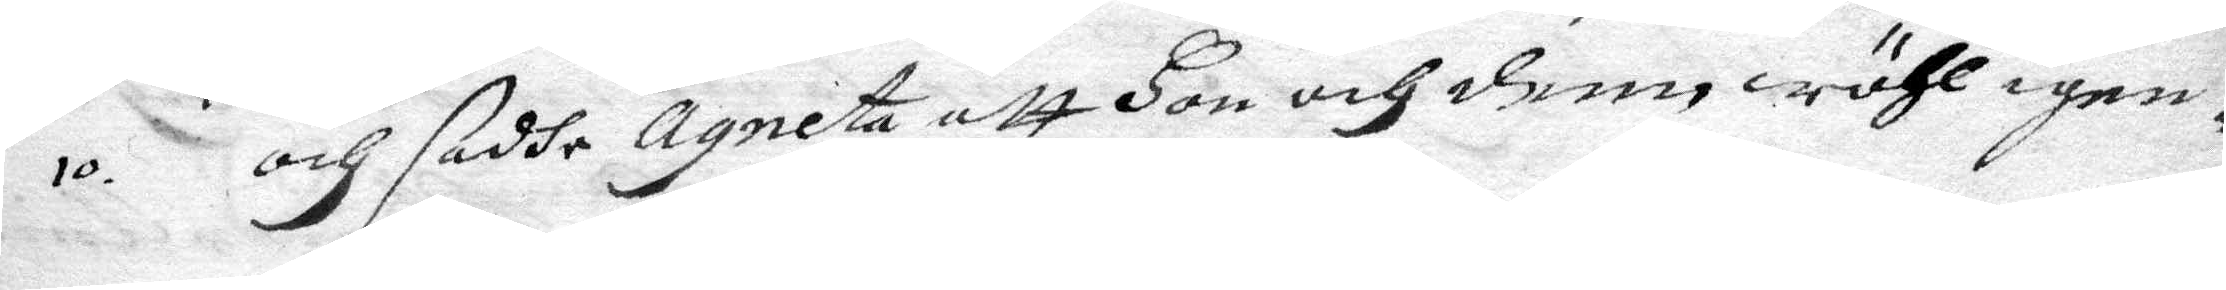10. och sadhe Agneta att hon och denn wähl igen¬
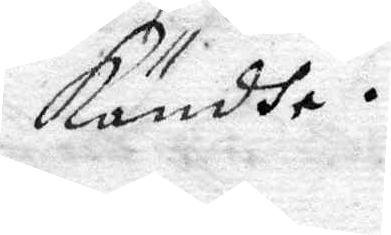kändhe.
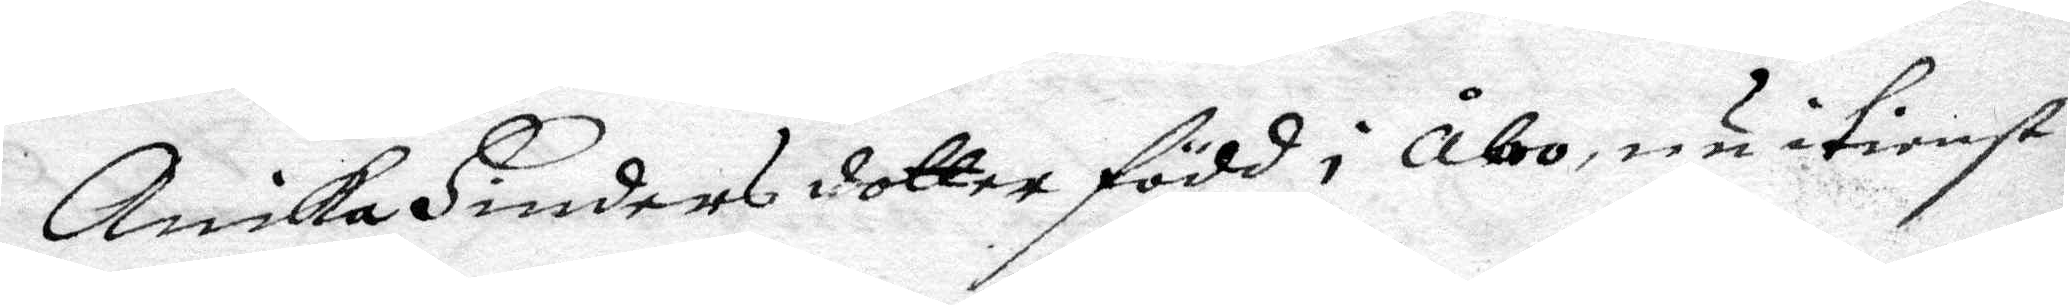Annika Simons dotter född i Åbo, nu i tienst
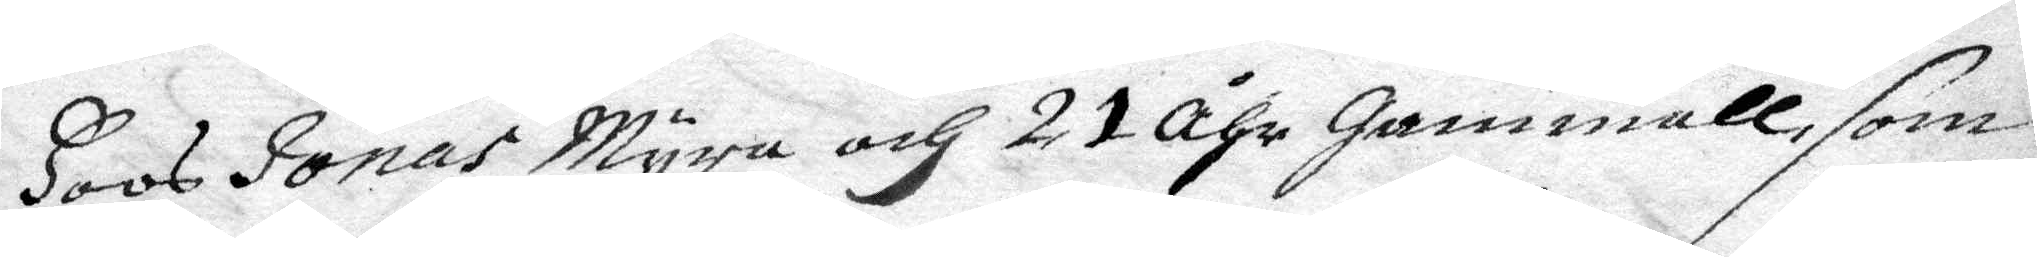hoos Jonas Myra och 21 Åhr gammall, som
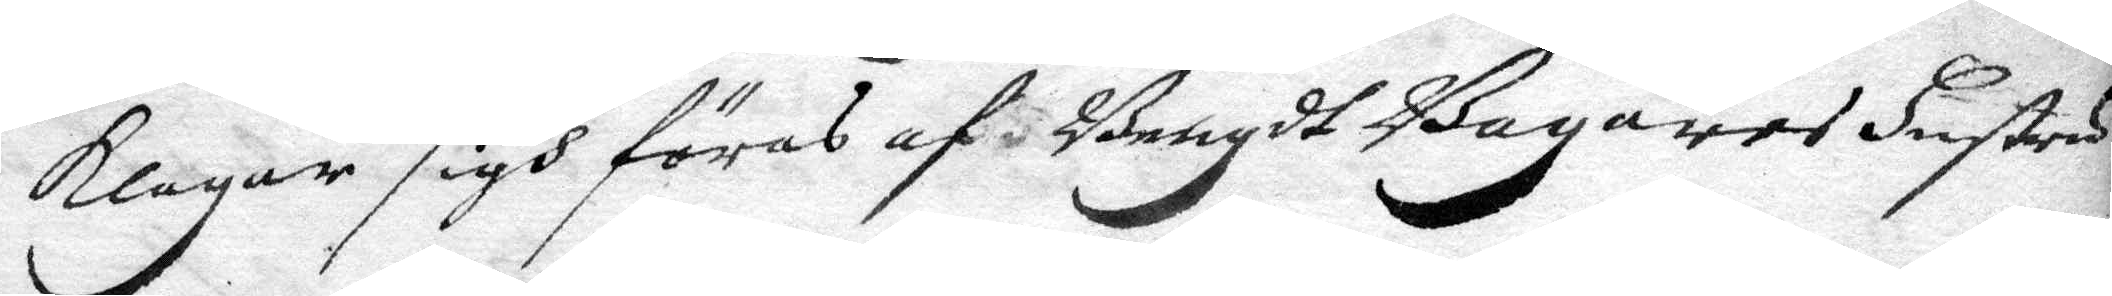klagar sigh föras af Bengdt Bagares hsutru
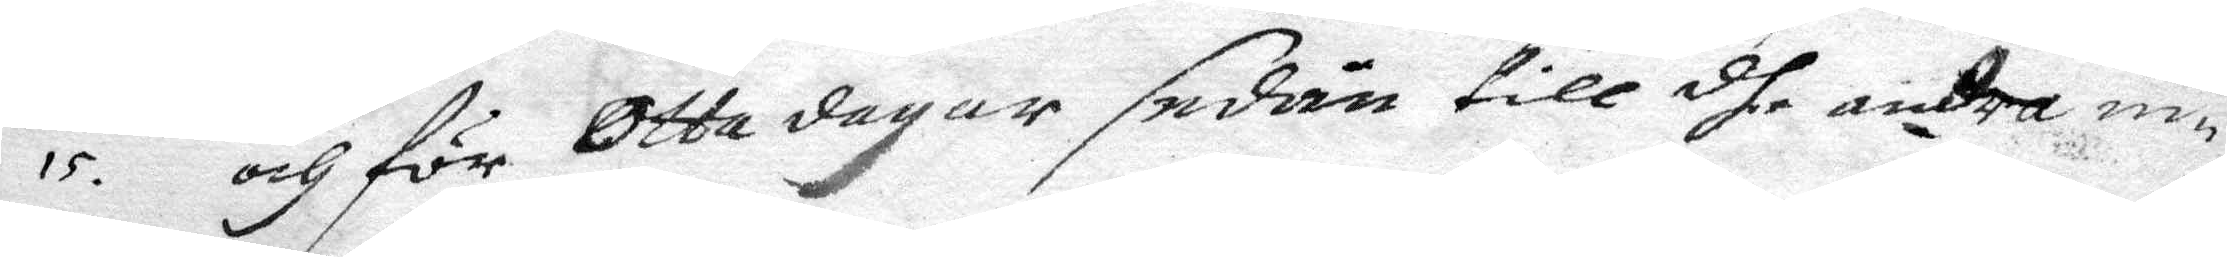15. och för Otta dagar sedan till dhe andra in¬
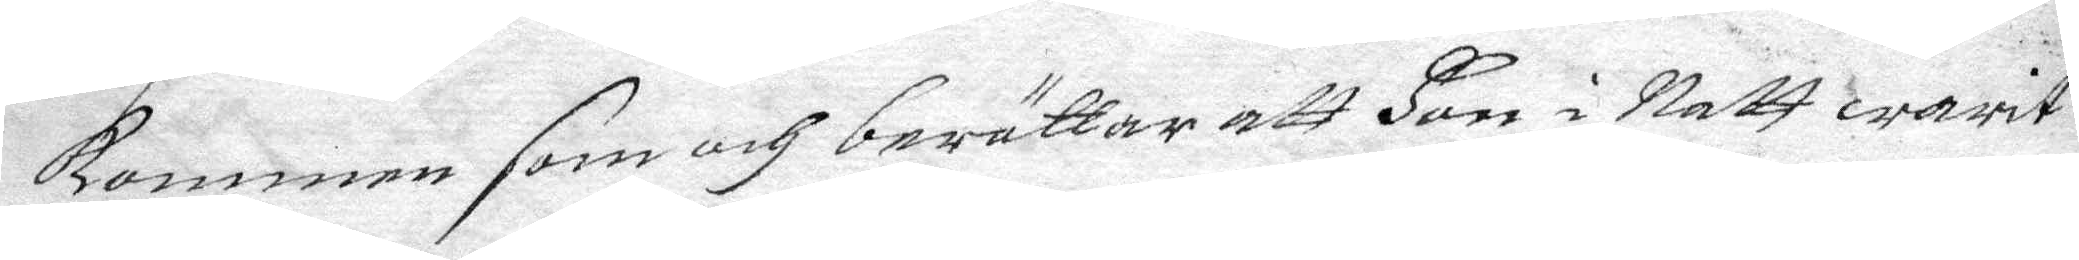kommen som och berättar att hon i Natt warit
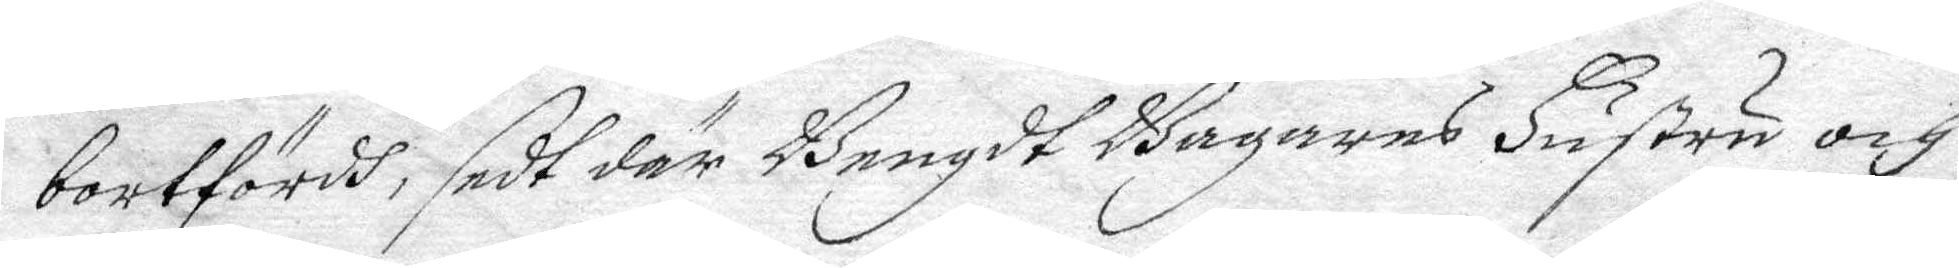bortfördh, sedt där Bengdt Bagares hustru och
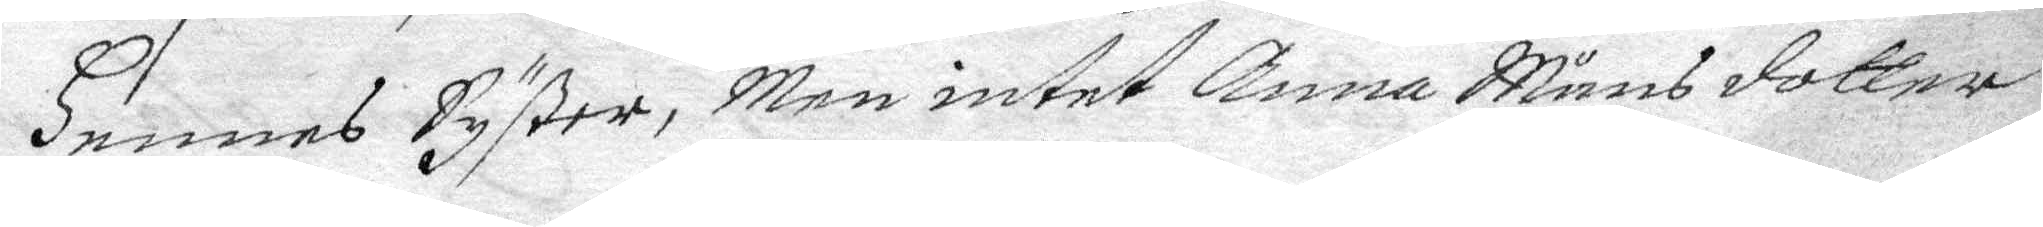hennes Syster, men intet Anna Månsdotter
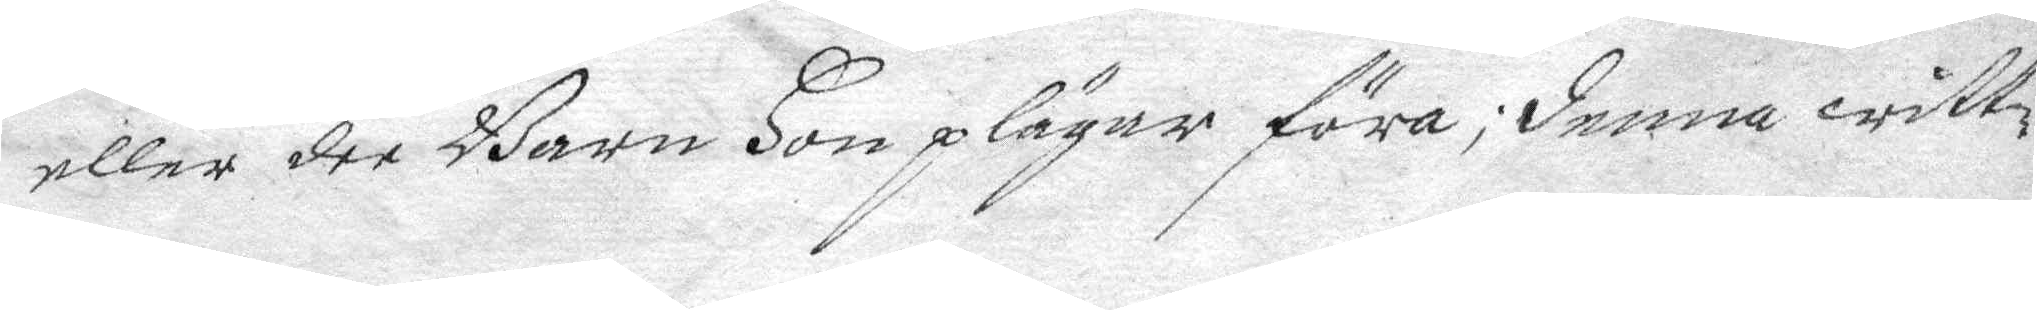eller dee Barn hon plägar föra; denna witt¬
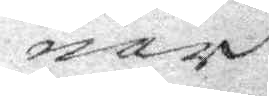nar
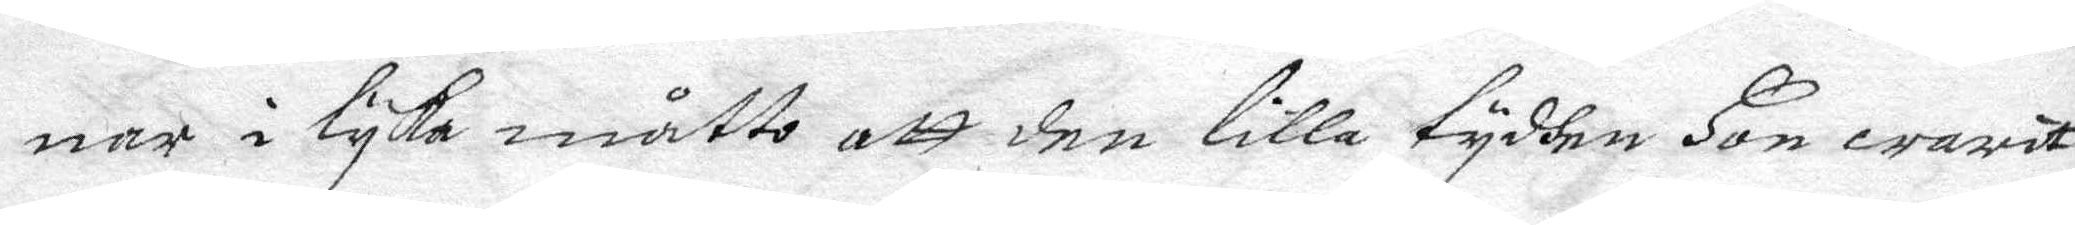nar i lyka måtto att den lilla tydhen hon warit
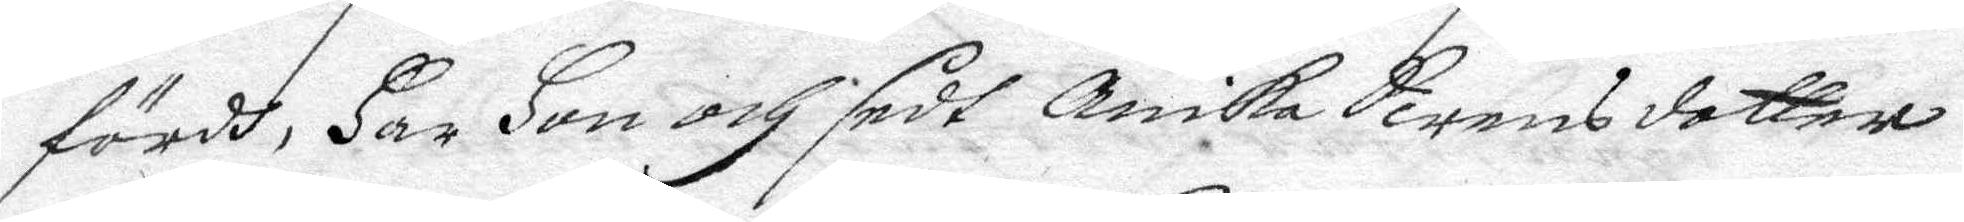fördh, har hon och sedt Anika Swensdotter
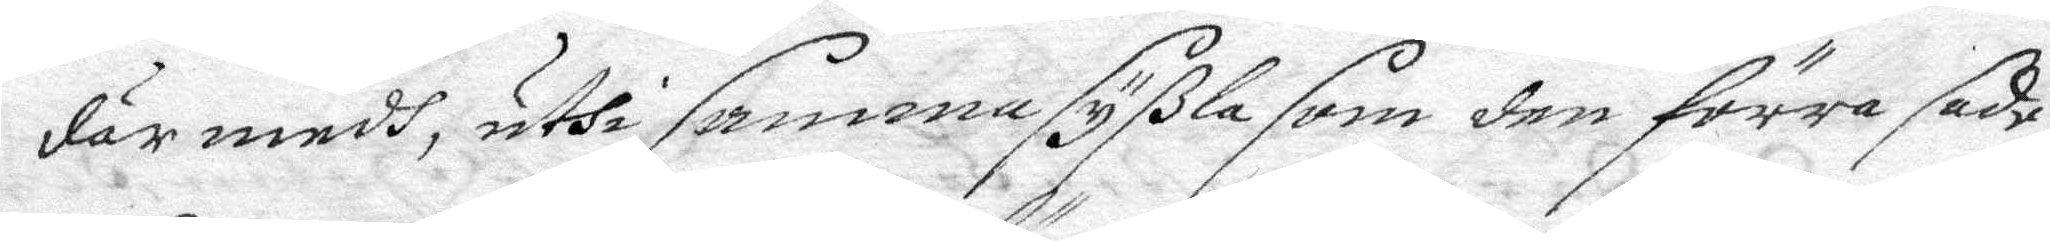där medh, uthi samma syßla som den förre sade;
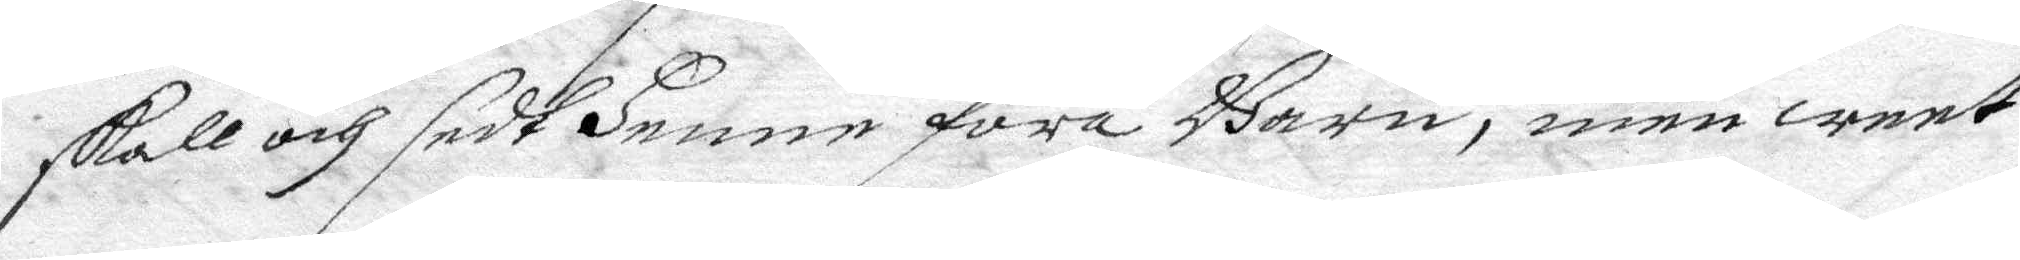skall och sedt henne föra Barn, men weet
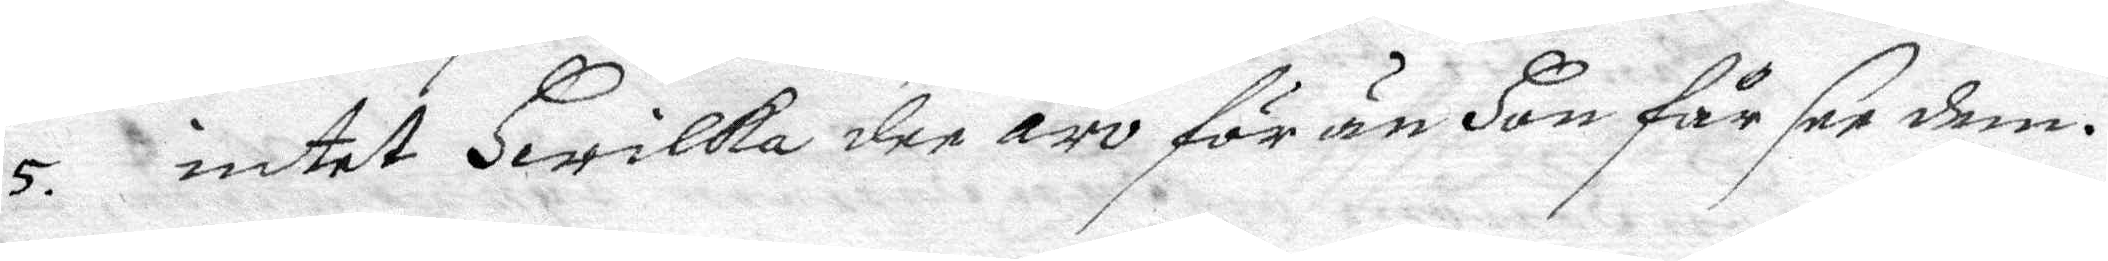5. intet hwilka dee äro för än hon får see dem.
